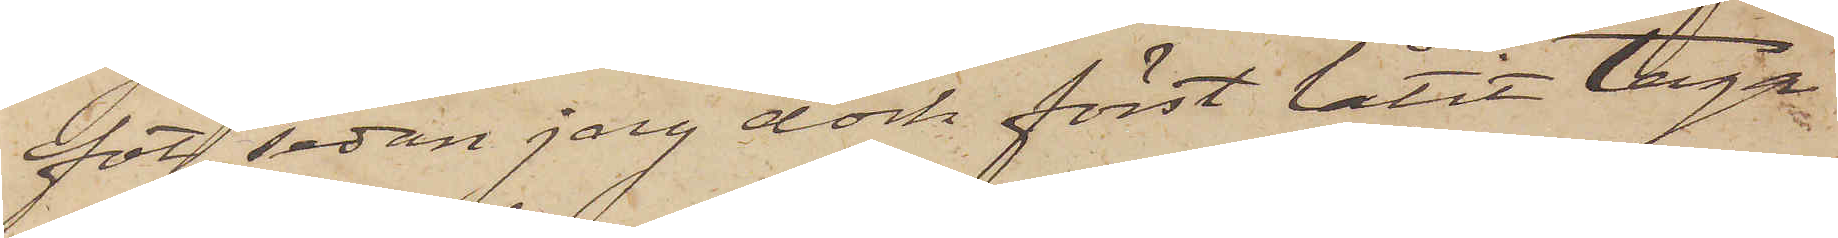fot, sedan jag dock först låtit taga
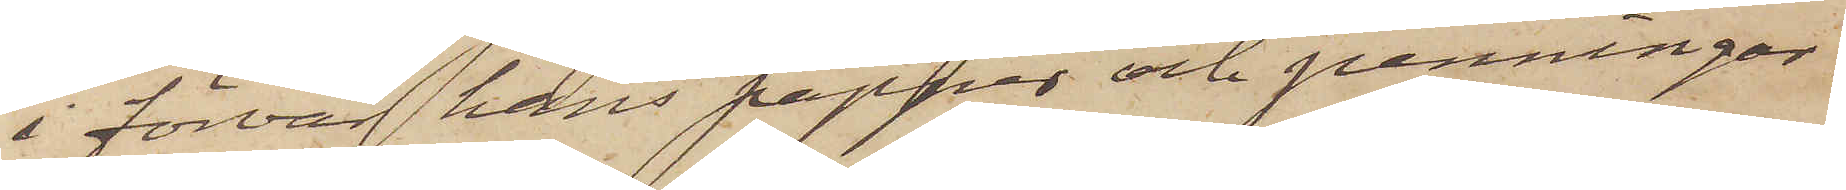i förvar hans papper och penningar.
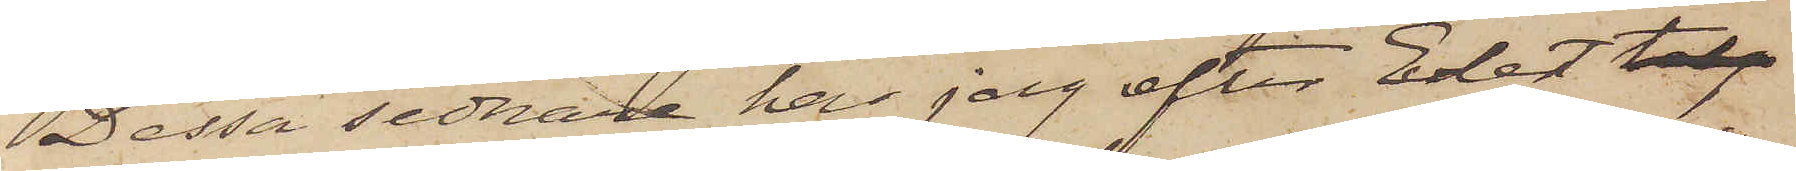Dessa sednare har jag efter Edert telg
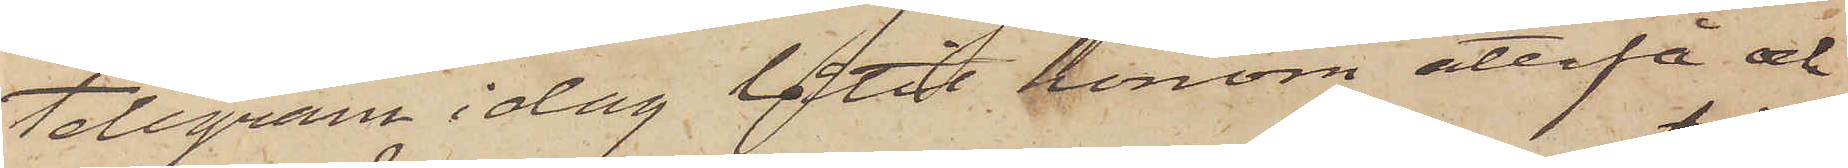telegram i dag låtit honom återfå och
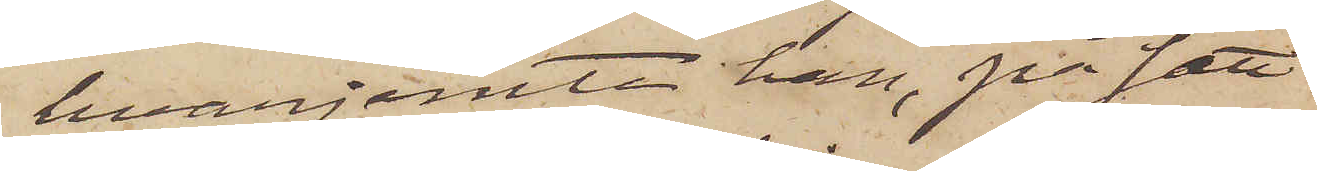hvarjemte han, på sätt
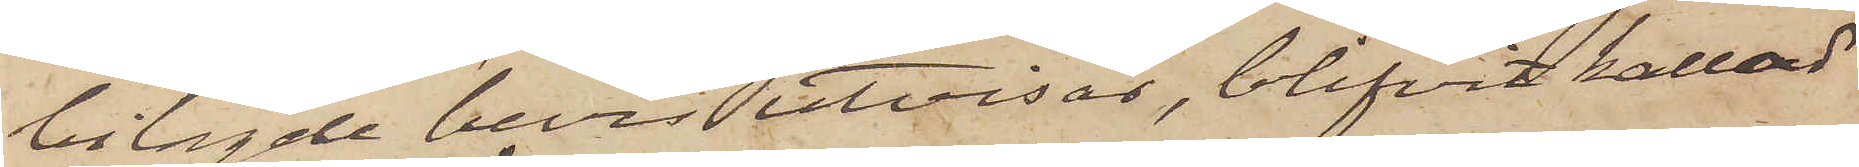bilagde bevis utvisar, blifvit kallad
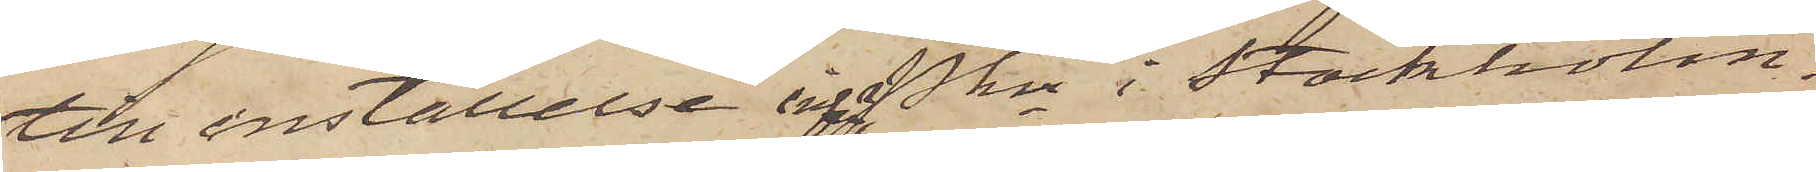till inställelse inför Pkn i Stockholm.
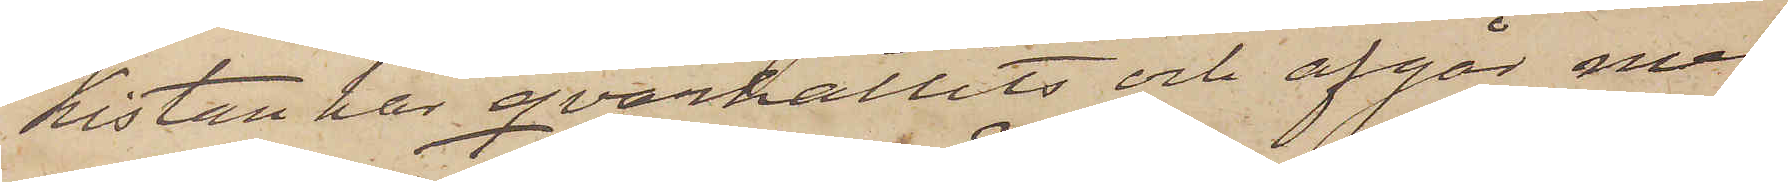Kistan har qvarhållits och afgår med
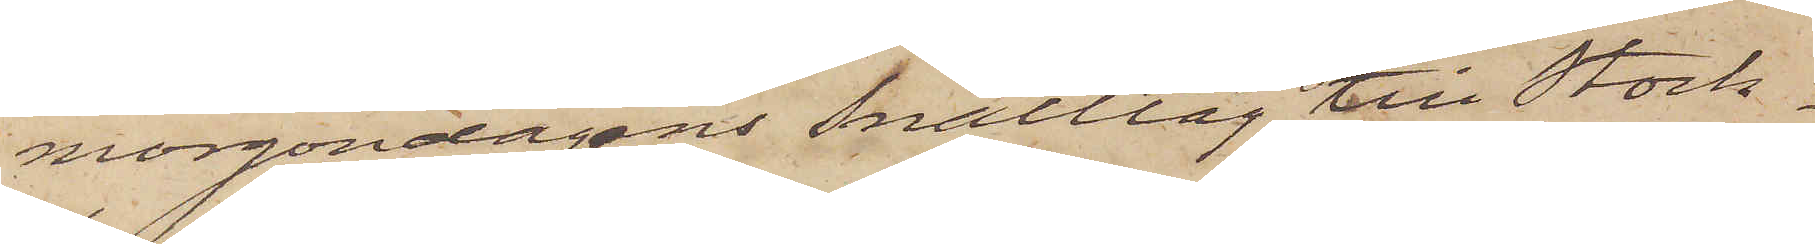morgondagens snälltåg till Stock¬
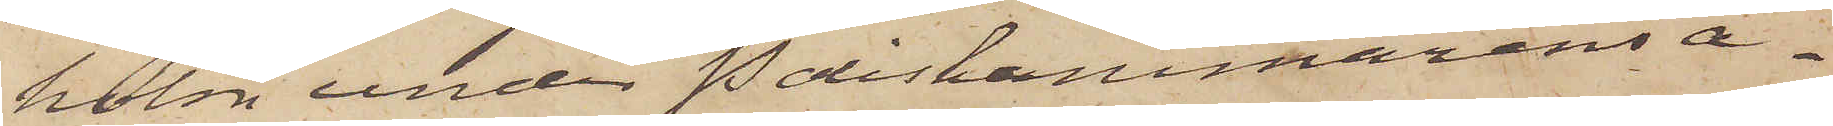holm under Poliskammarens a¬
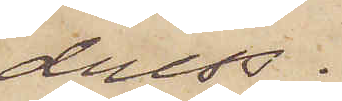dress.
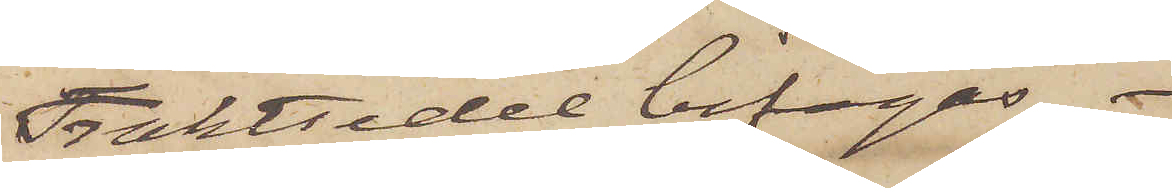Fraktsedel bifogas.
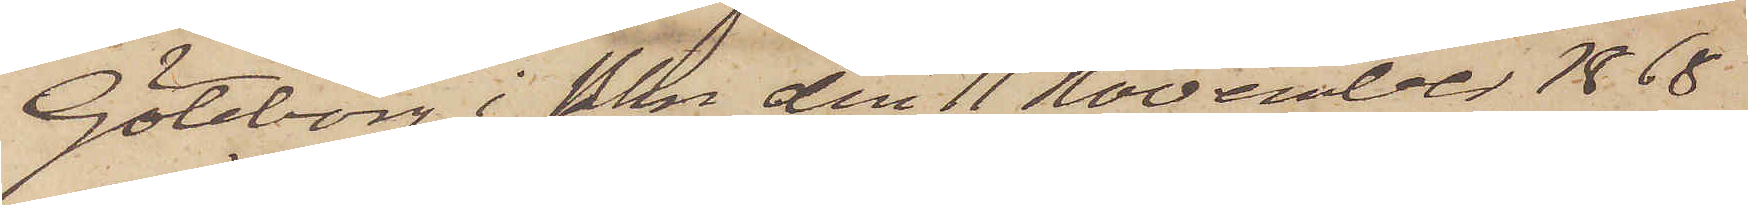Göteborg i Pkn den 11 November 1868
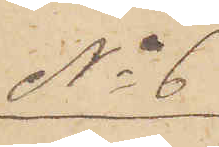No 6
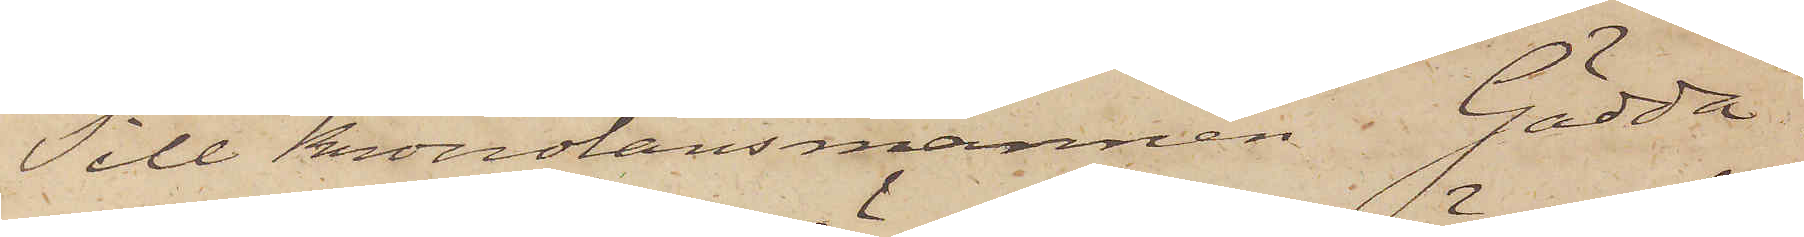Till Kronolänsmannen Gädda.
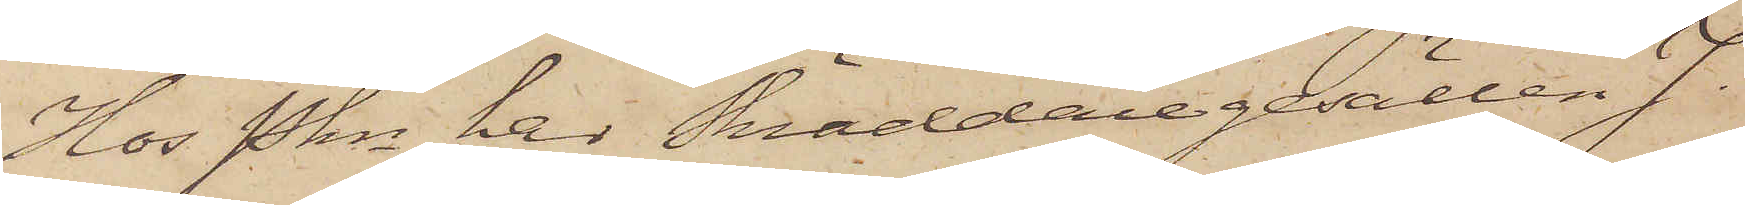Hos Pkn har Skräddaregesällen J.
